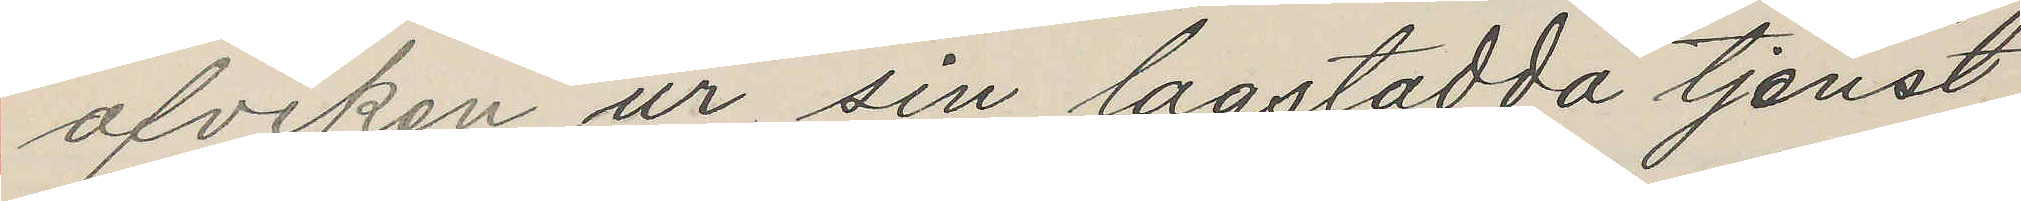afviken ur sin lagstadda tjenst
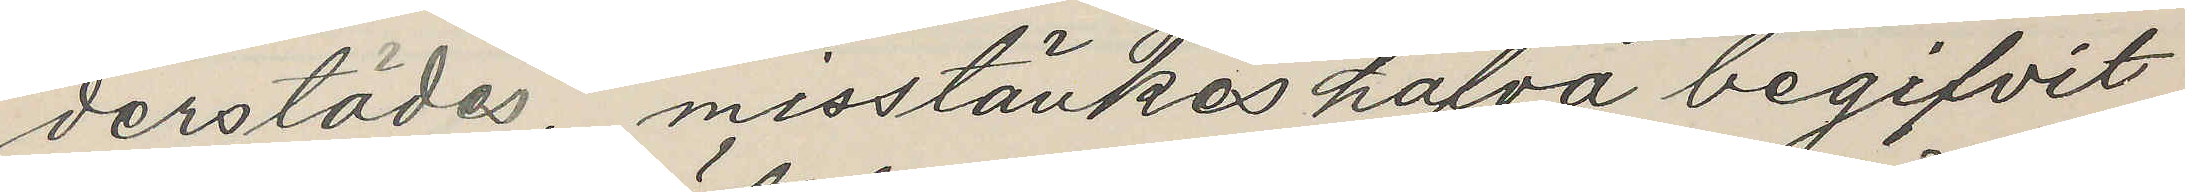derstädes, misstänkes hafva begifvit
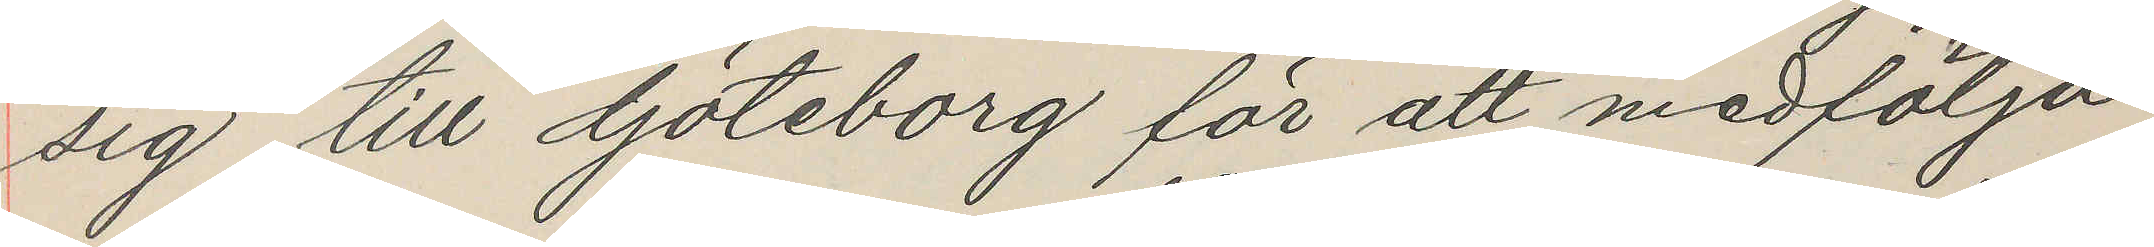sig till Göteborg för att medfölja
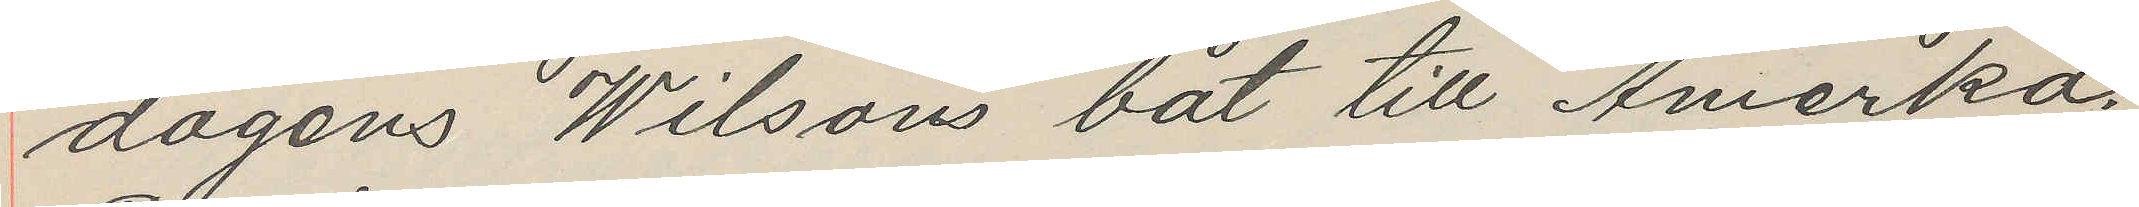dagens Wilsons båt till Amerka.
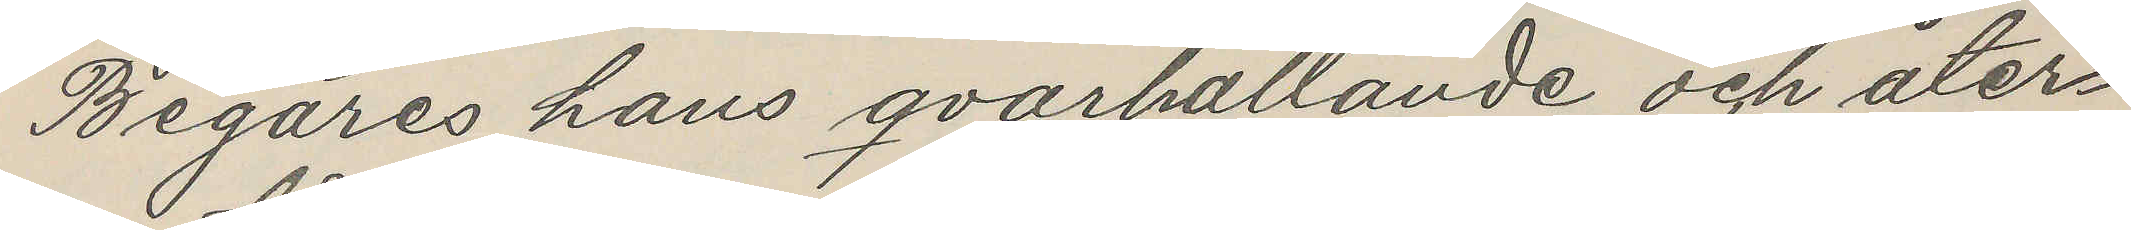Begäres hans qvarhållande och åter¬
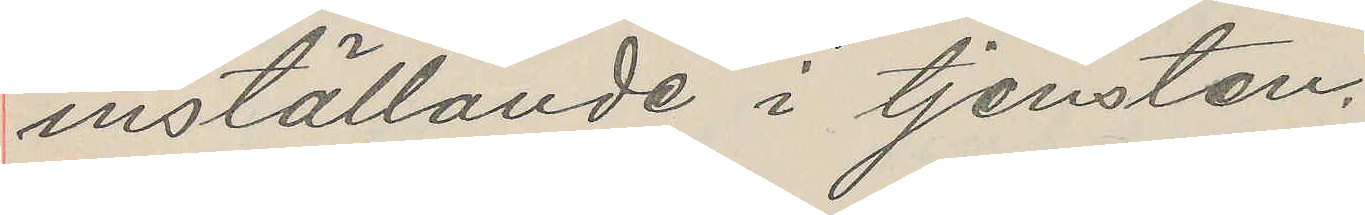inställande i tjensten.
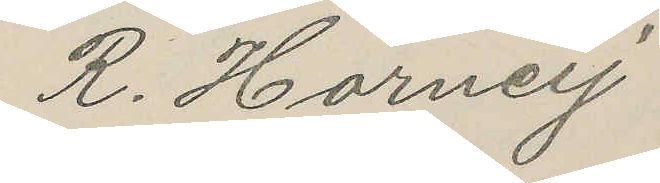K. Horneij
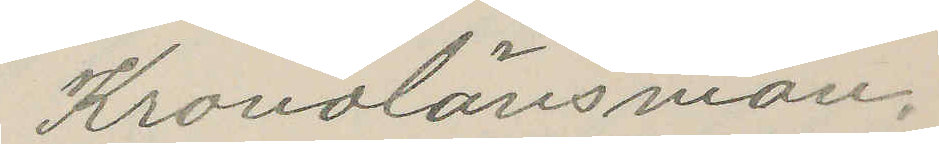Kronolänsman.
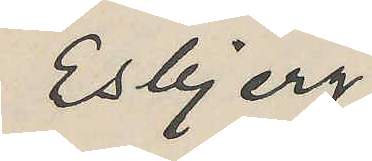Esbjerg
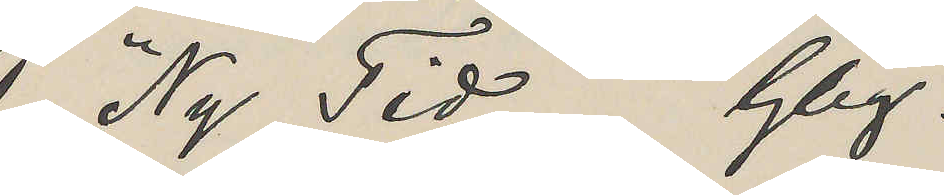"Ny Tid" Gbg.
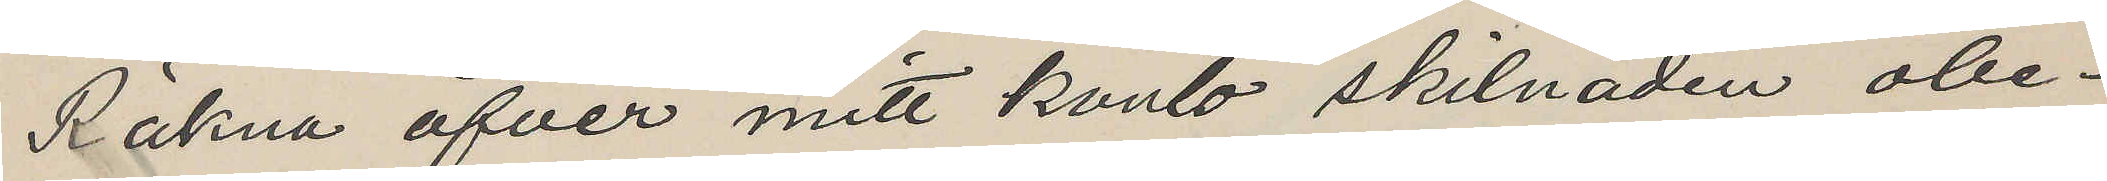Räkna öfver mitt konto skilnaden obe¬
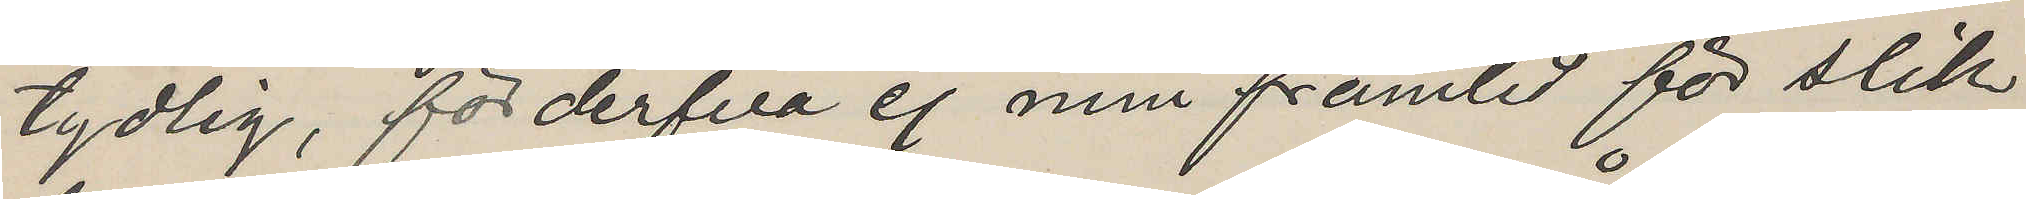tydlig, förderfva ej min framtid för slik
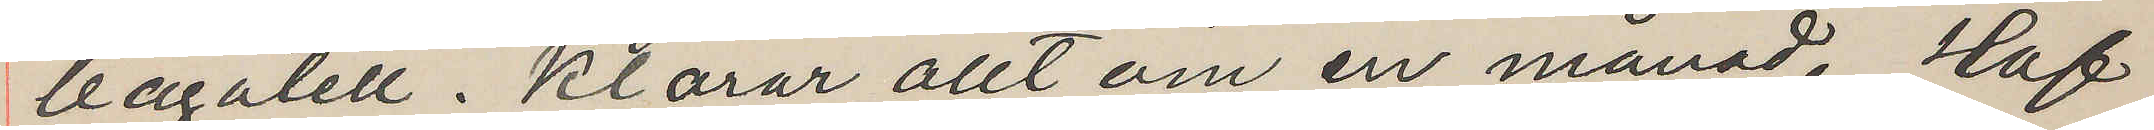bagatell. Karar allt om en månad. Haf
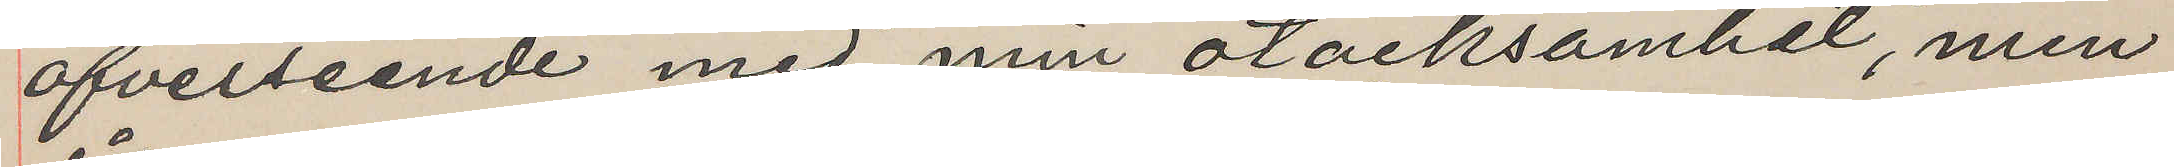öfverseende med min otacksamhet, men
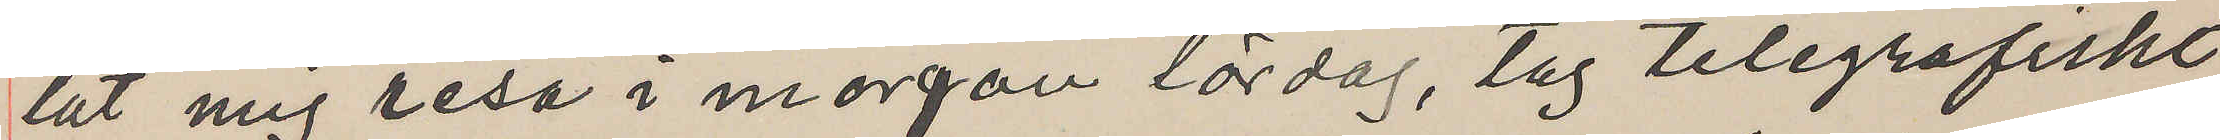låt mig resa i morgon lördag, tag telegrafiskt
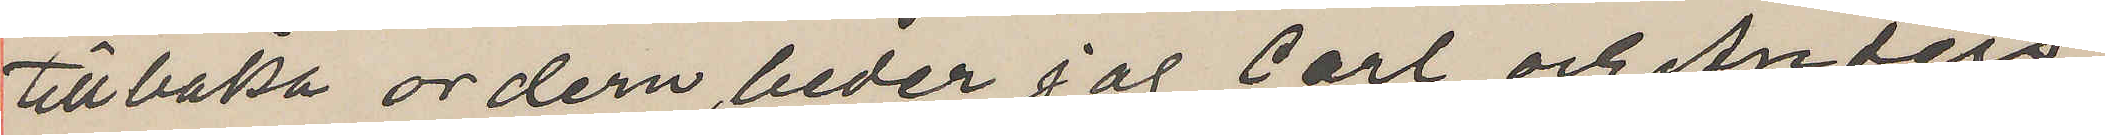tillbaka ordern, beder jag Carl och Anders,
